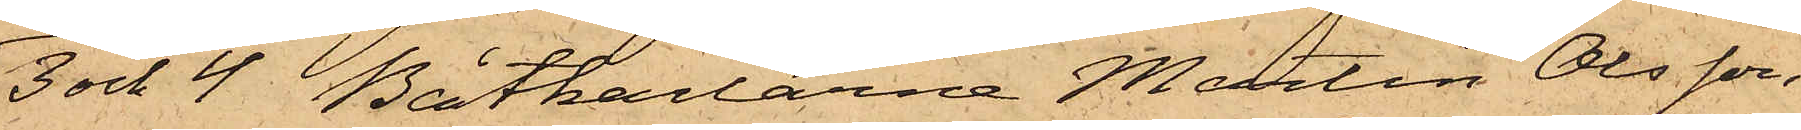3 och 4 Båtkarlarna Martin Olsson
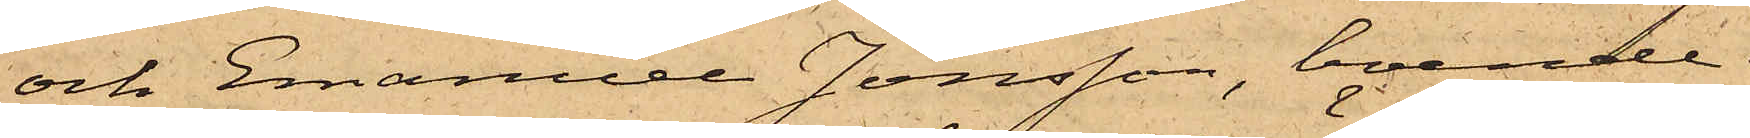och Emanuel Jonsson, boende
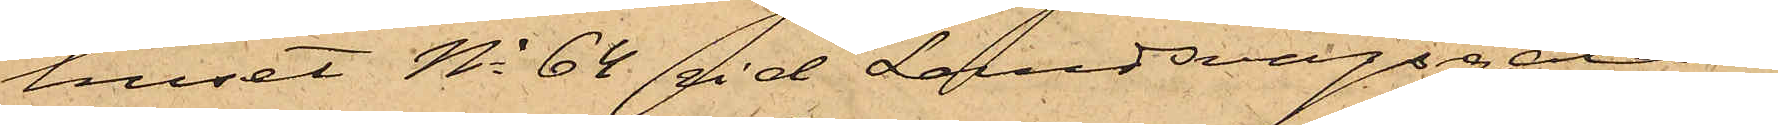huset No 64 vid Landsvägsgatan
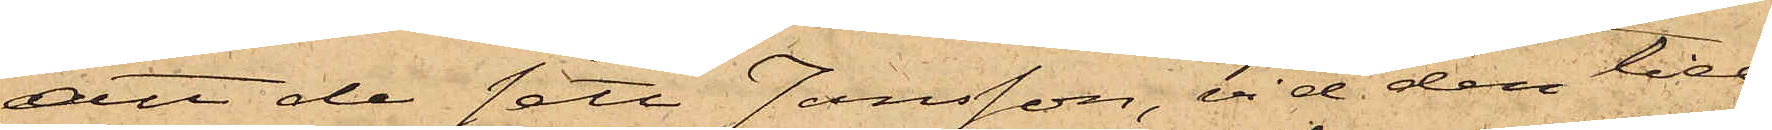att de sett Jansson, vid den tid
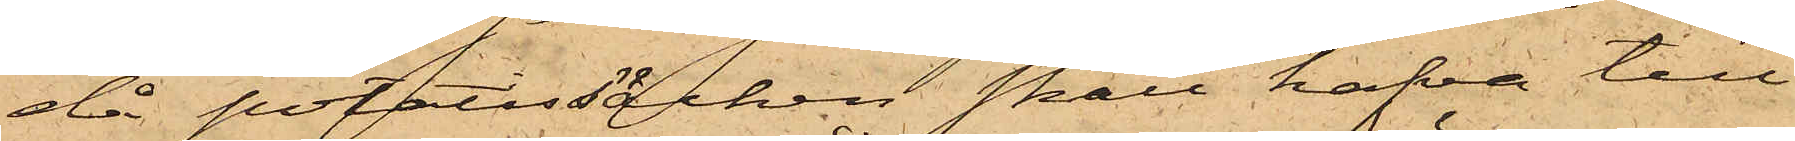då potatissäcken skall hafva till¬
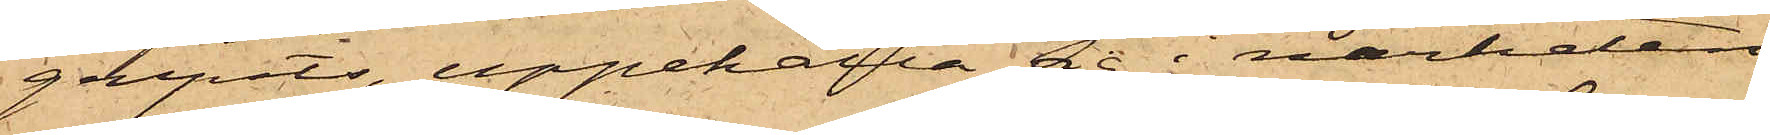gripits, uppehålla sig i närheten
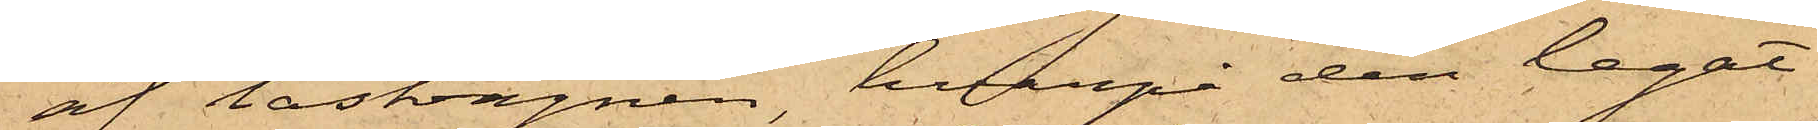af lastvagnen, hvarpå den legat.
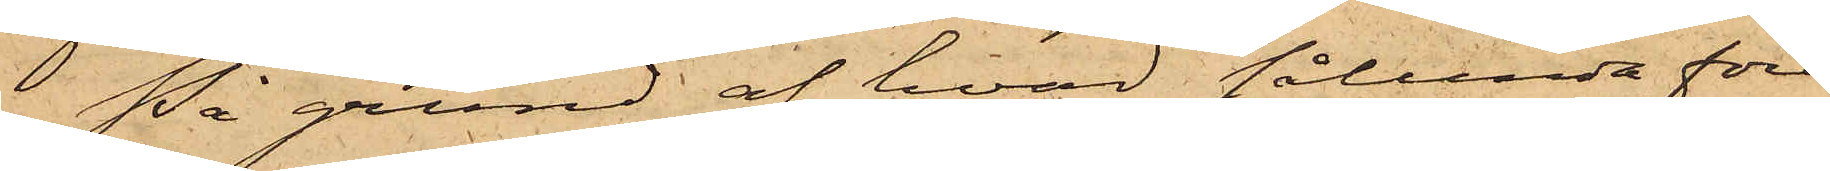På grund af hvad sålunda före¬
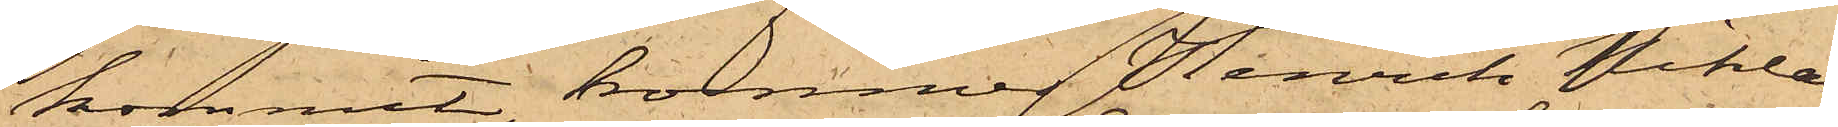kommit, kommer Henrik Niklas
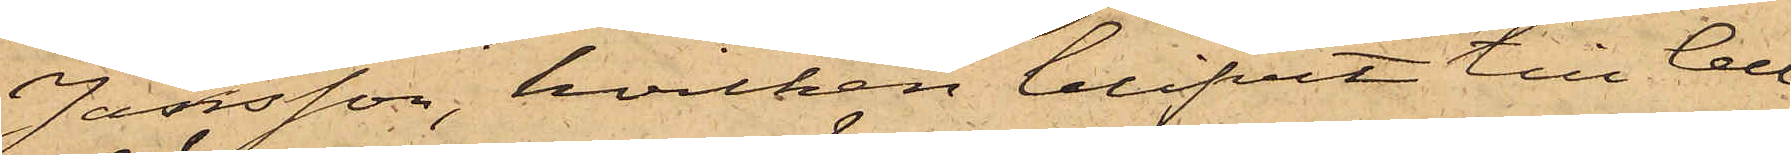Jansson, hvilken blifvit till Cell¬
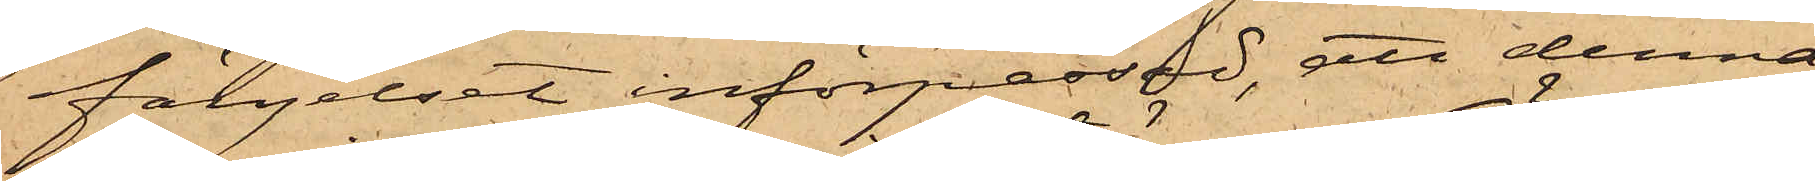fängelset införpassad, att denna
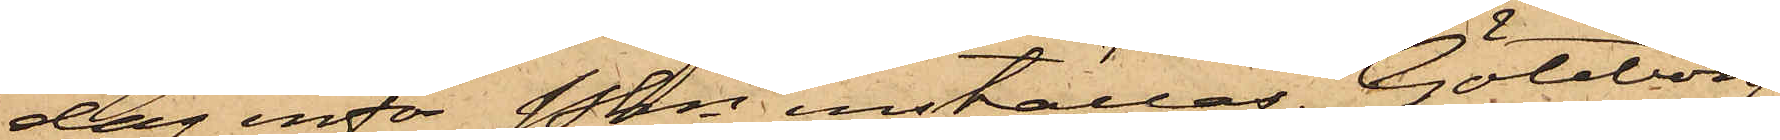dag inför Pkn inställas. Göteborg
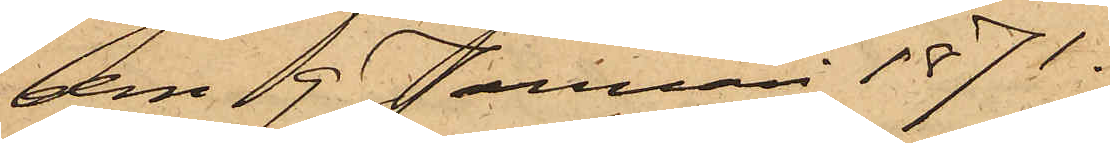den 9 Januari 1871.
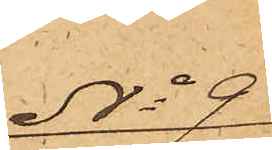No 9
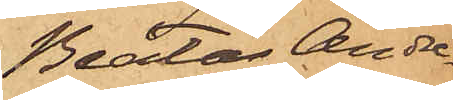Beata Andre¬
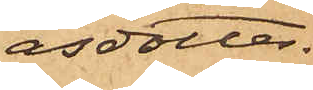asdotter.
